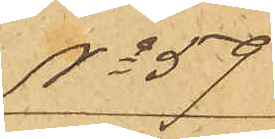No 59
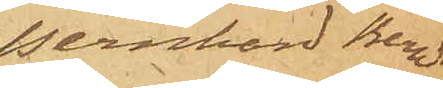Bernhard Berndts¬
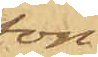son
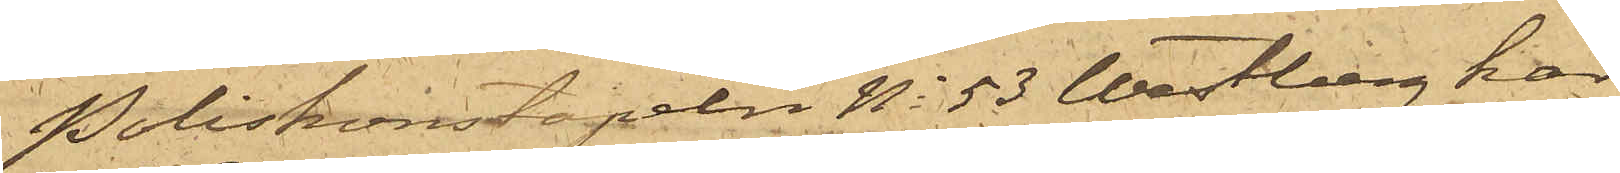Poliskonstapeln No 53 Wästberg har
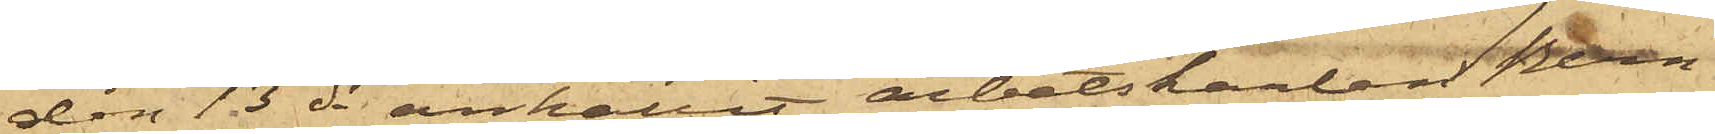den 13 ds anhållit arbetskarlen Bern¬
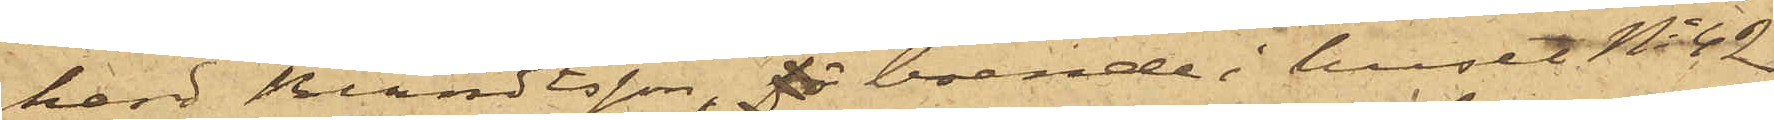hard Berndtsson, boende i huset No 42
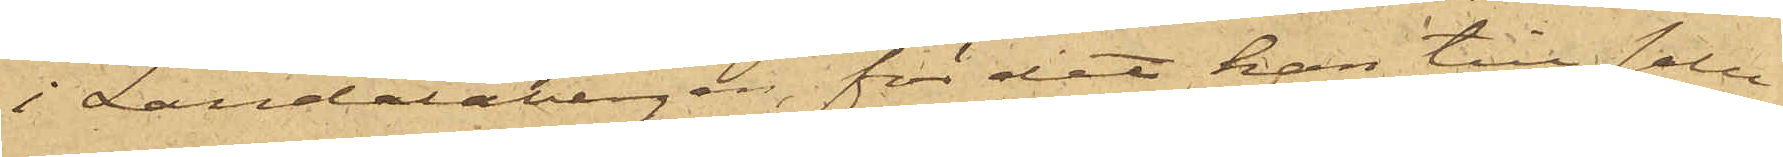i Landalabergen, för det han till salu
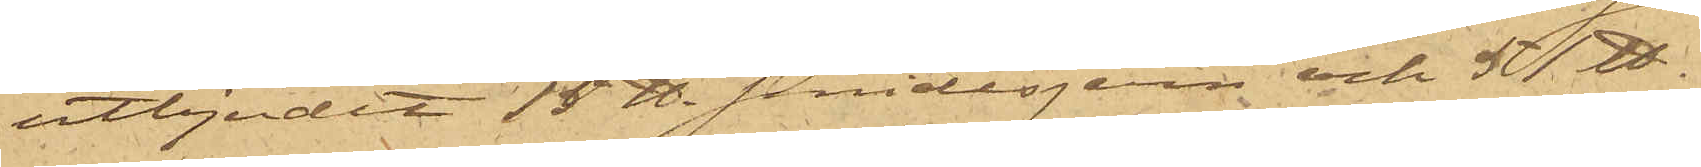utbjudit 15 ℔ smidesjern och 51 ℔
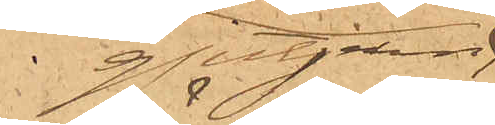gjutjern,
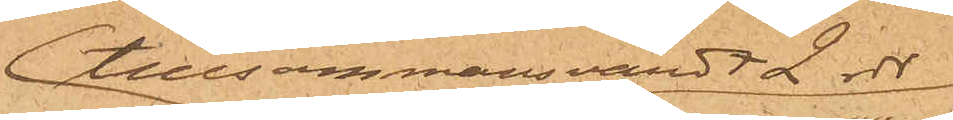tlllsammans värdt 2 rdr
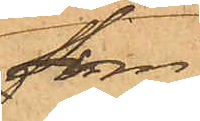som
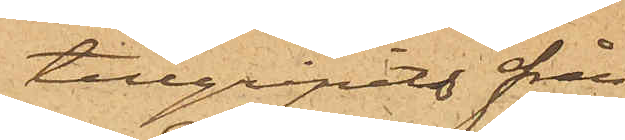tillgripits från
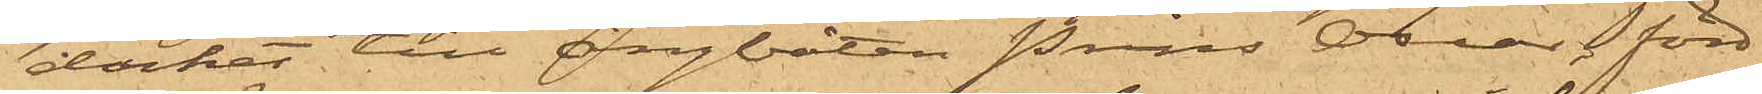däcket till ångbåten Prins Oscar förd
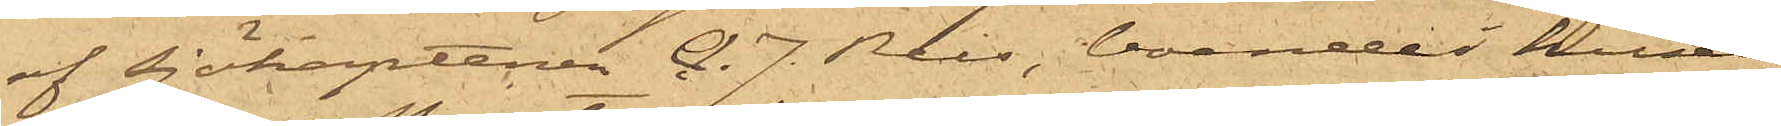af sjökaptenen A. J. Reis, boende i huset
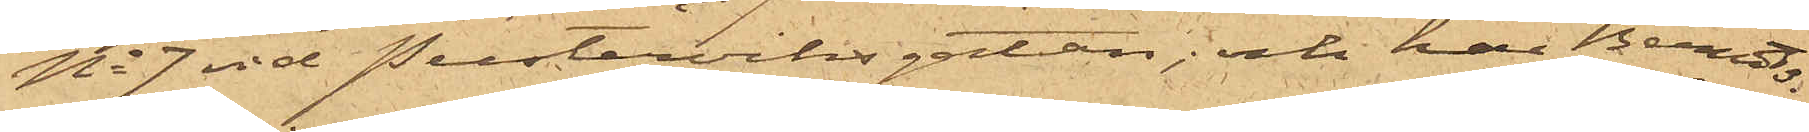No 7 vid Pusterviksgatan; och har Berndts¬
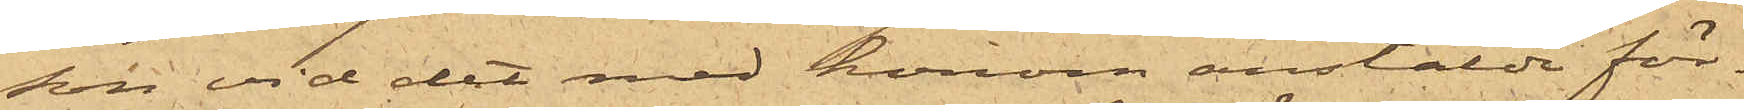son vid det med honom anstälde för¬
